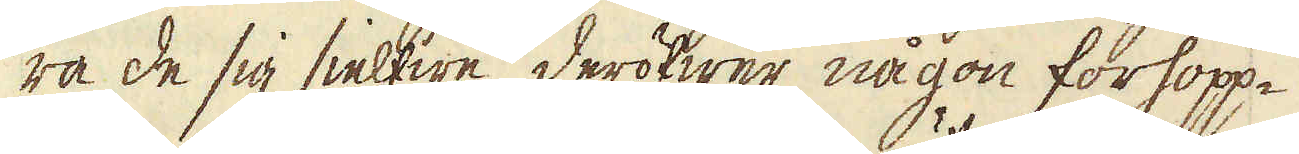ra de sig sielfwe deröfwer någon förhopp-
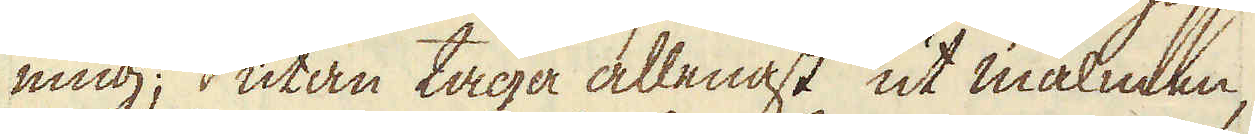ning; utan taga allenast ut malmen,
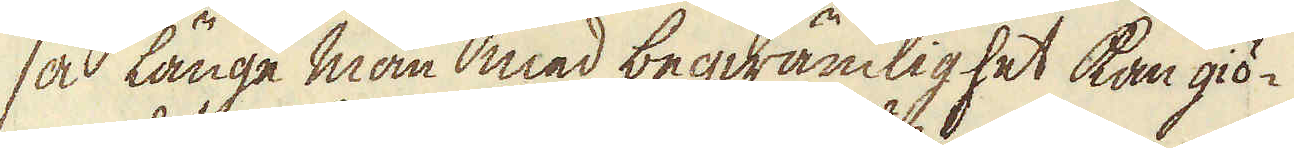så länge man med beqwämlighet kan giö-
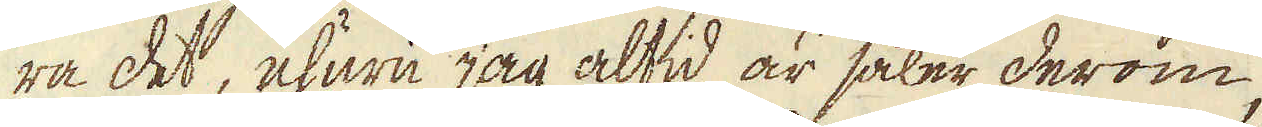ra det, ehuru jag altid är säker derom,
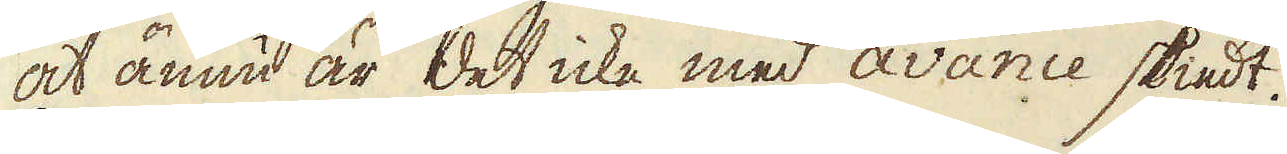at ännu är det icke med avance skiedt.
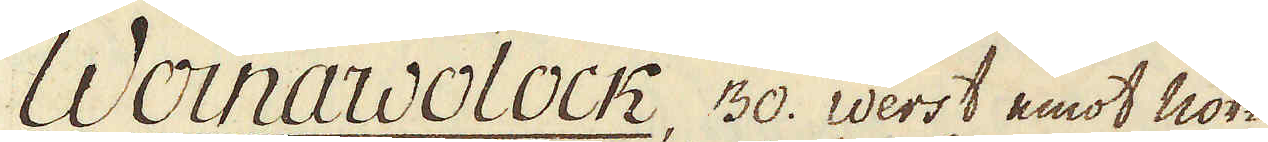Woinawolock, 30. Werst emot nor-
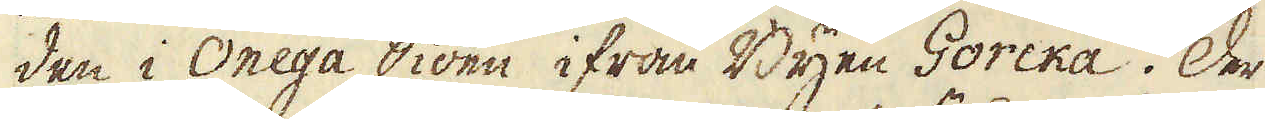den i Onega Siöen ifrån Byen Gorcka. Der
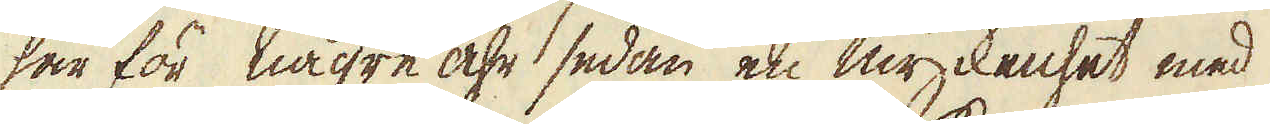har för någre åhr sedan en myckenhet med
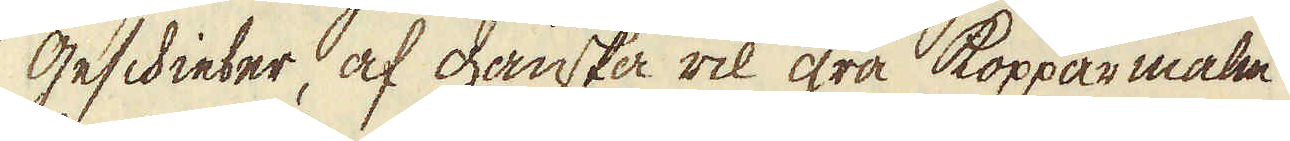Geschieber, af ganska rik grå kopparmalm
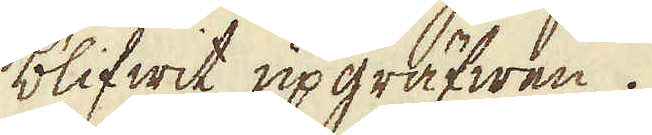blifwit upgräfwen.
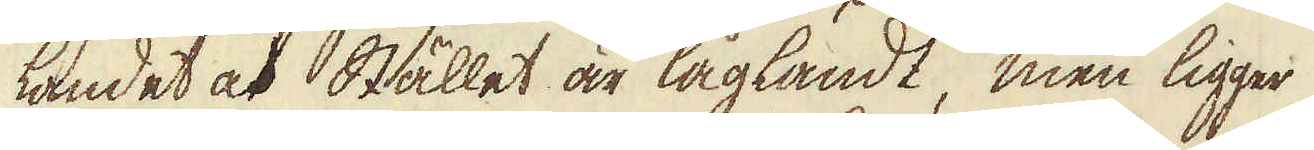Landet och Stället är lågländt, men ligger
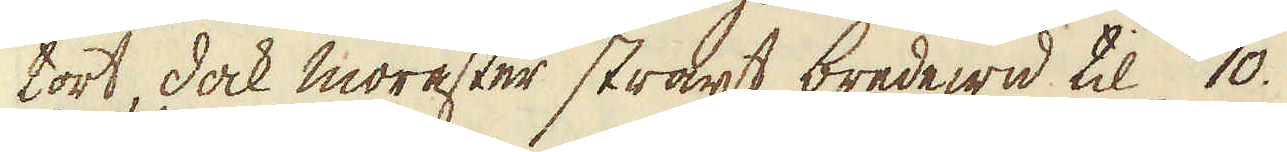tort, dock morester straxt bredewid til 10.
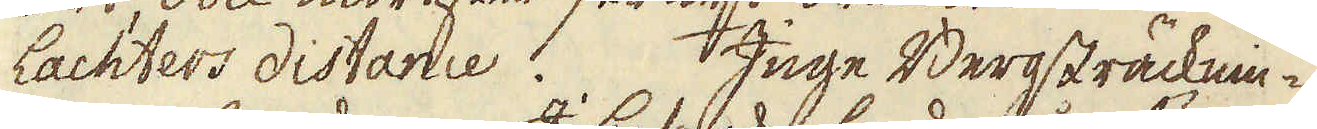lachters distance. Inge Bergsträcknin-
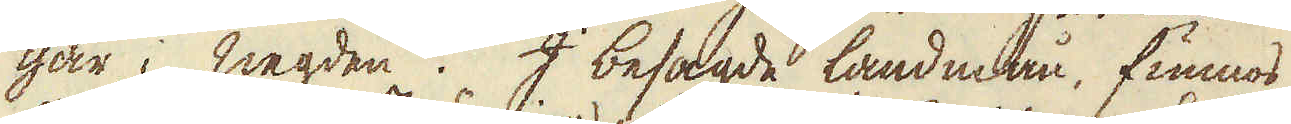gar i negden. I besagde landmån, funnos
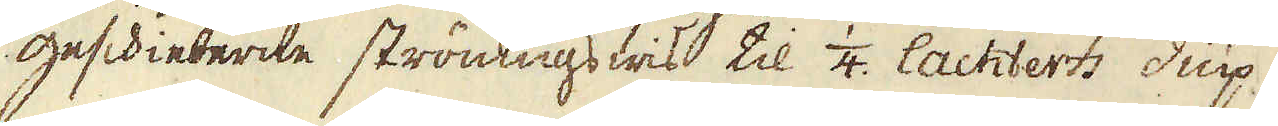geschieberne strömigs wis, til 1/2 lachters diup
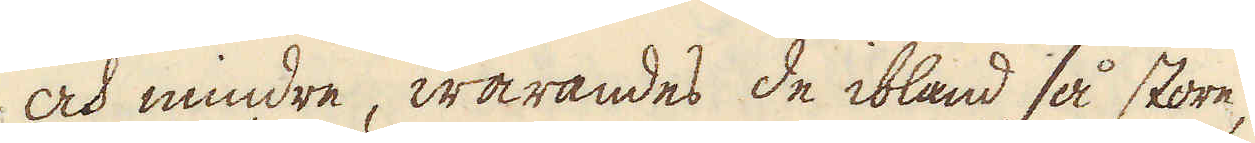och mindre, warandes de ibland så store,
